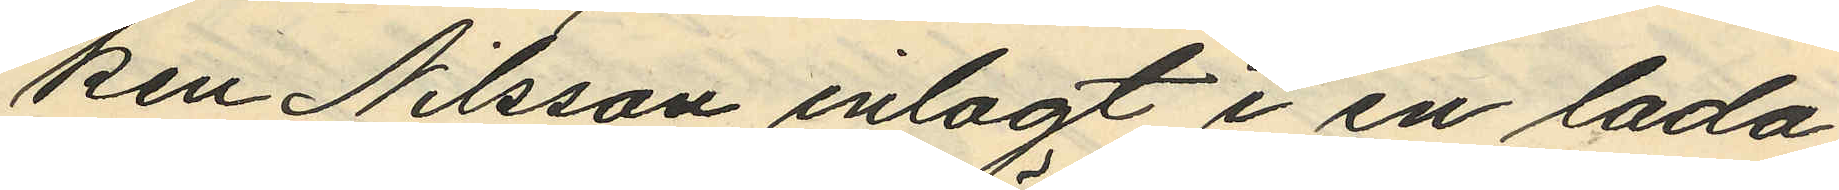ken Nilsson inlagt i en lada
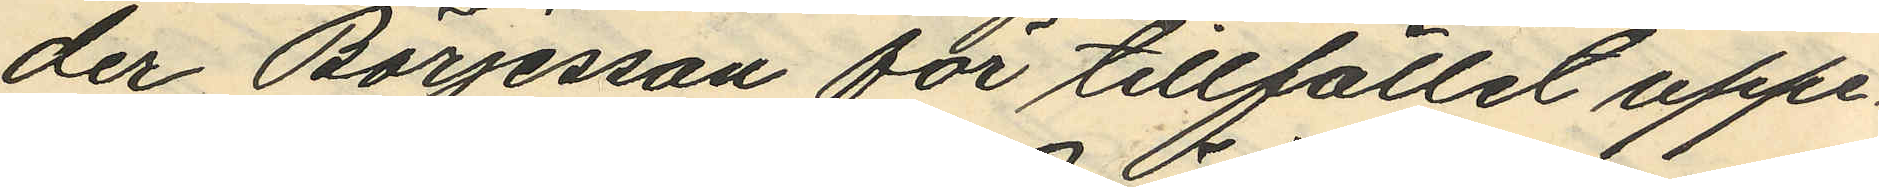der Börjesson för tillfället uppe¬
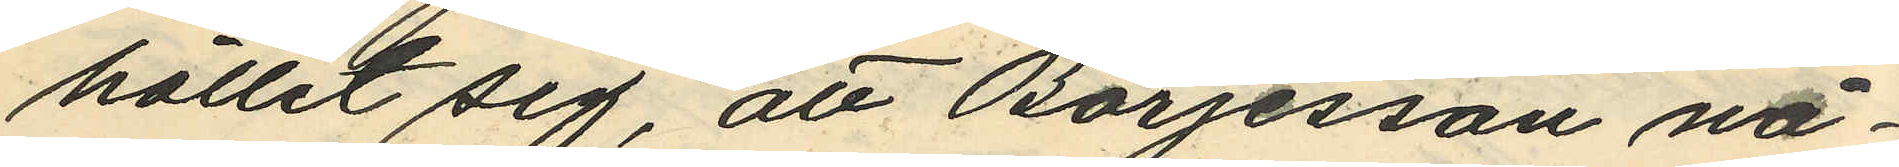hållit sig, att Börjesson nå¬
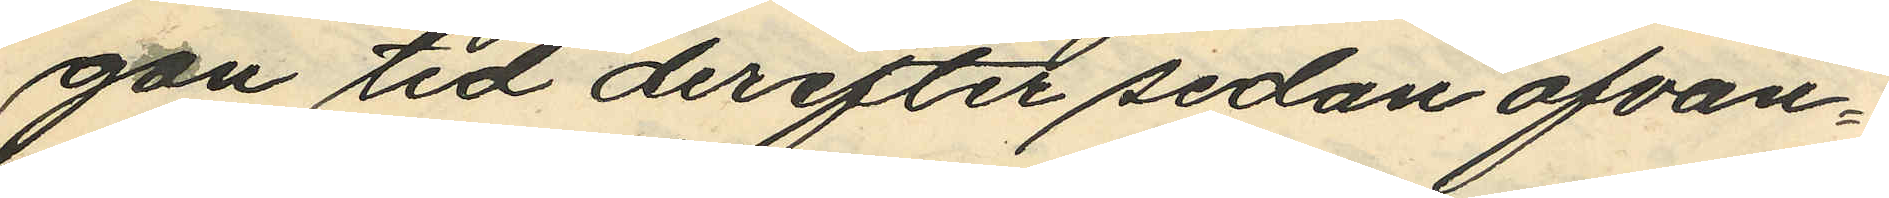gon vid derefter sedan ofvan¬
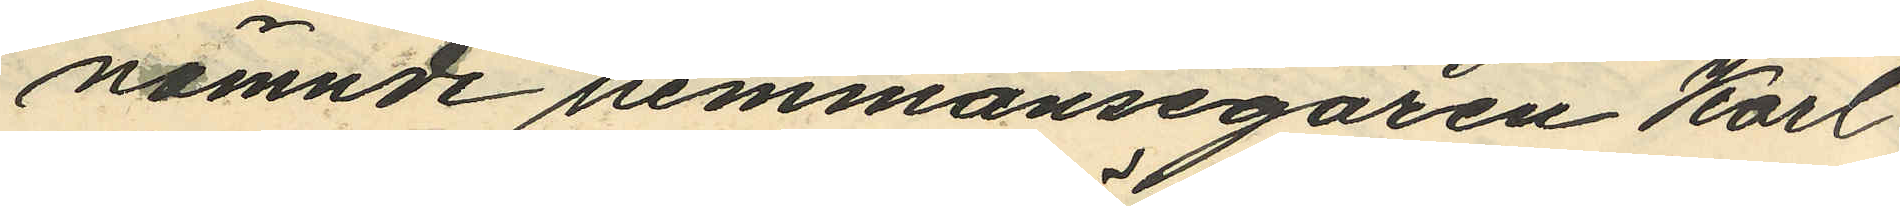nämnde hemmansegaren Karl
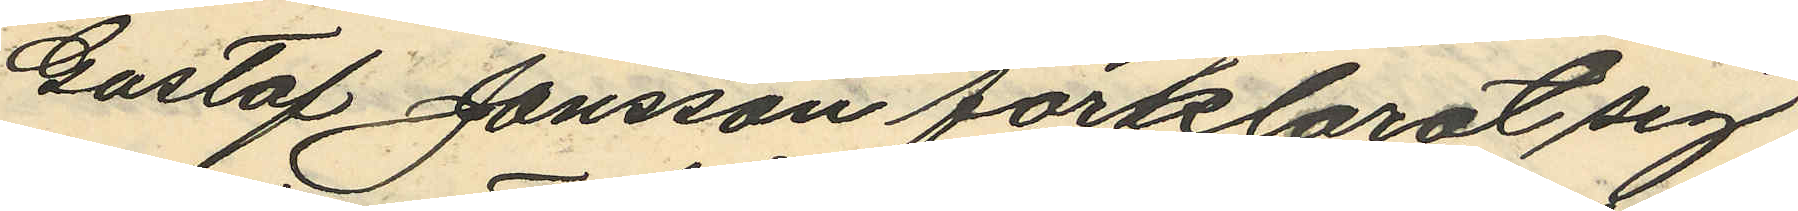Gustaf Jansson förklarat sig
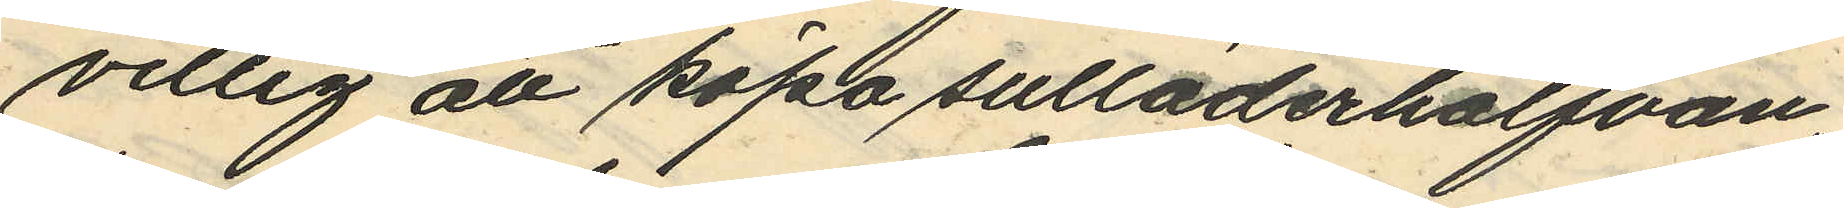villig att köpa sulläderhalfvan,
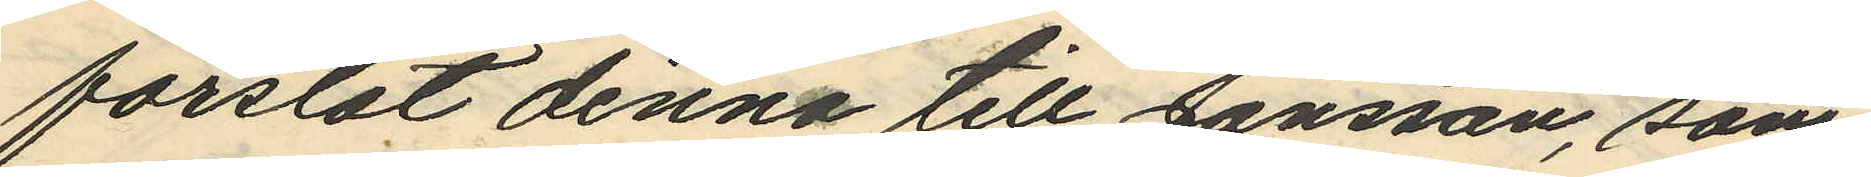forslat denna till Jansson, som
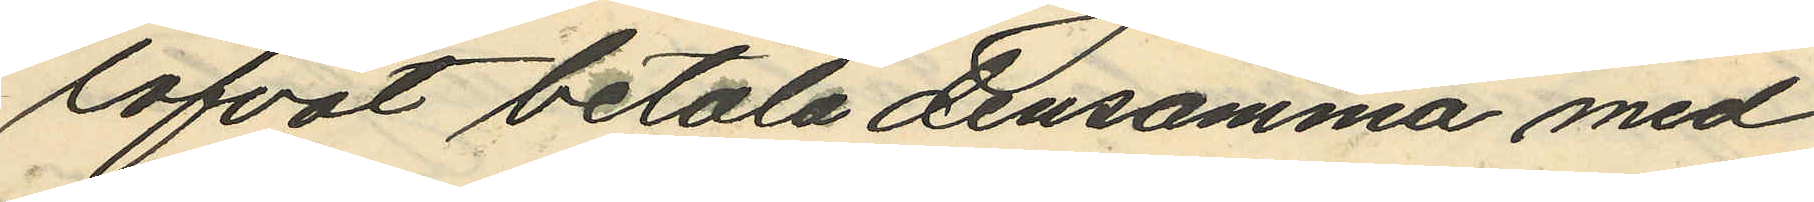lofvat betala densamma med
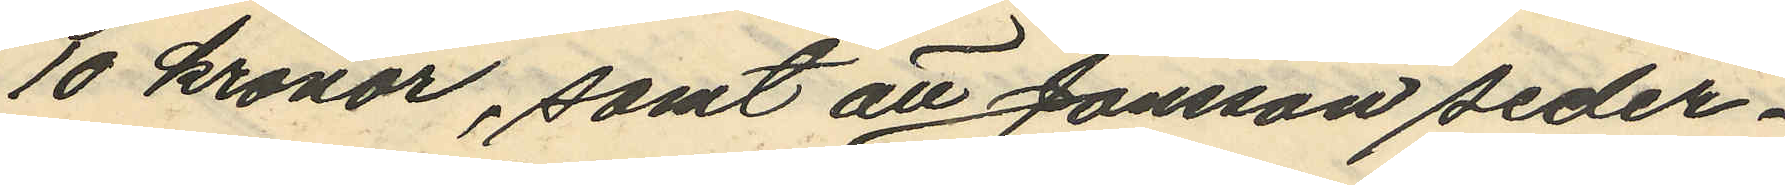10 kronor, samt att Jansson seder¬
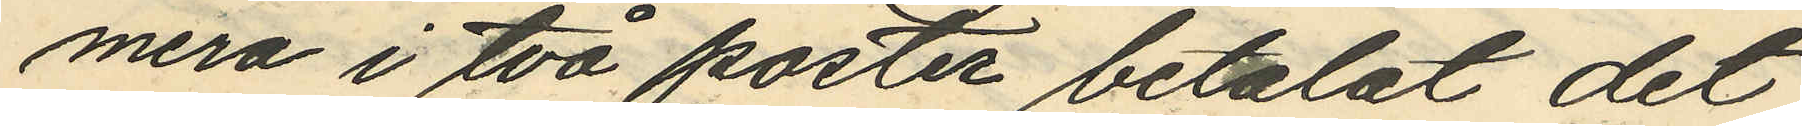mera i två poster betalat det
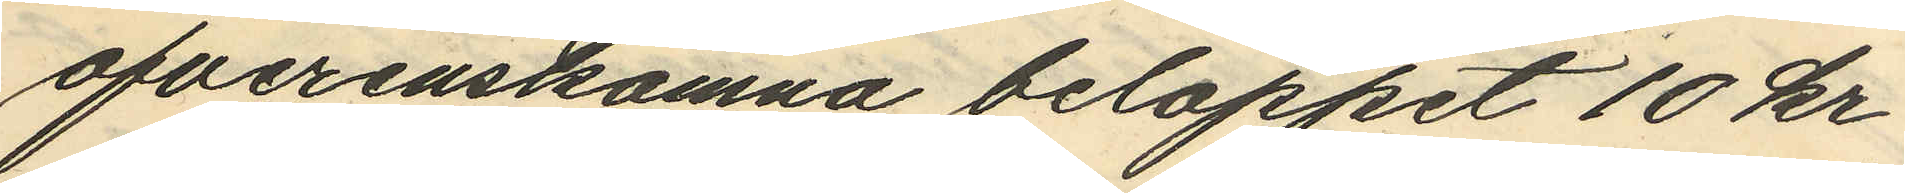ofverenskomna beloppet 10 kr
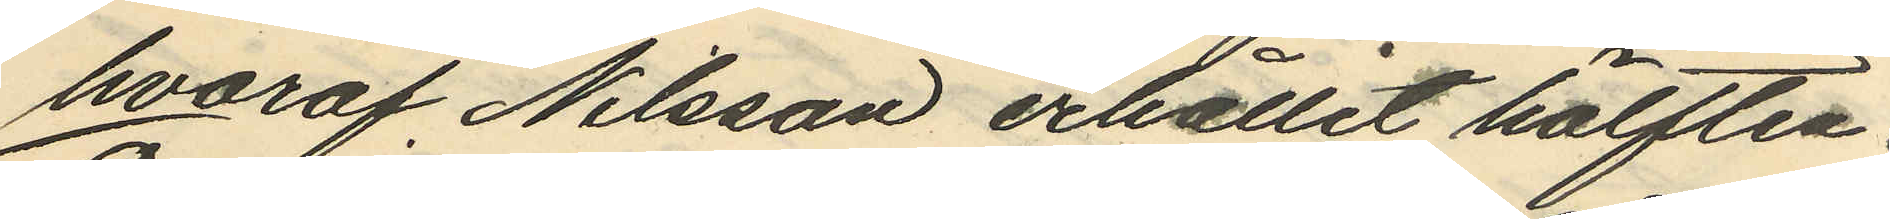hvaraf Nilsson erhållit hälften.
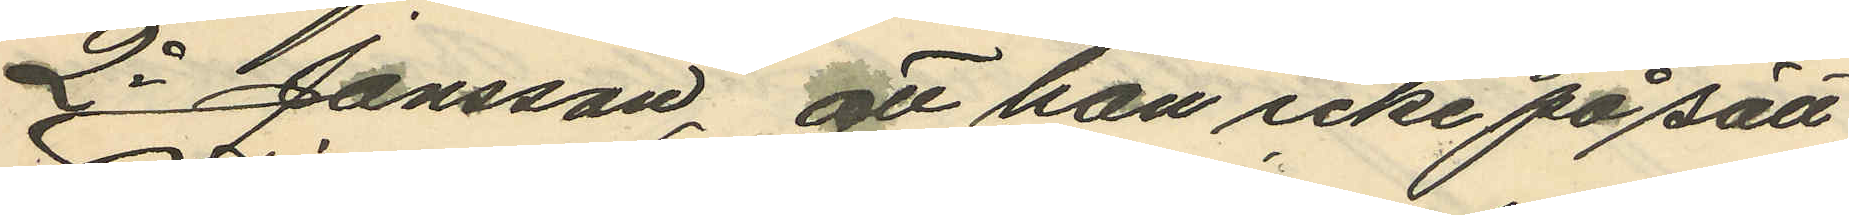2o Jansson, att han icke på sätt
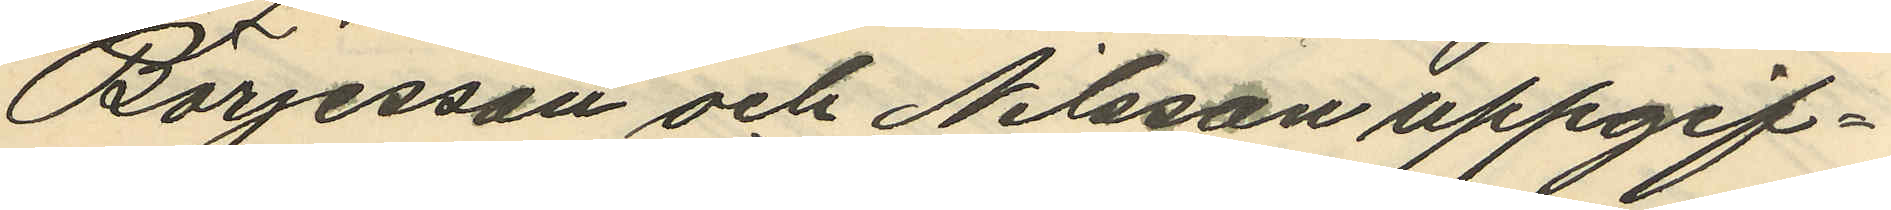Börjesson och Nilsson uppgif¬
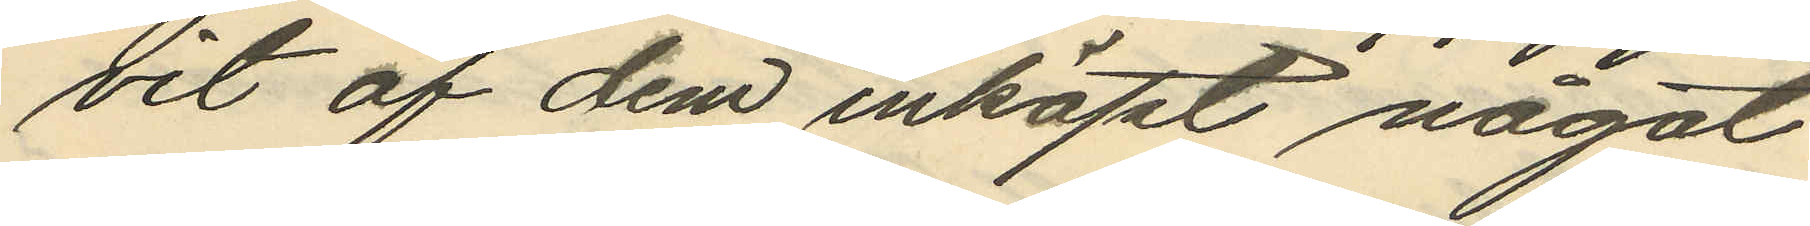vit af dem inköpt något
